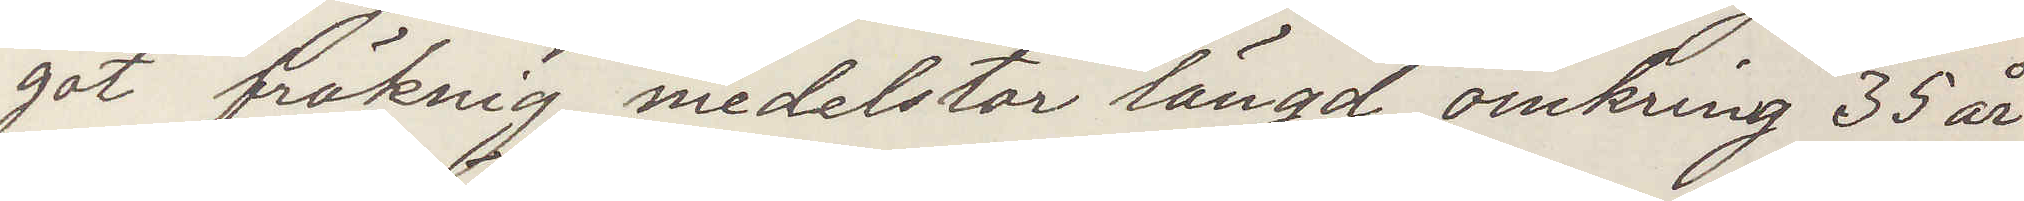got fräknig, medelstor längd, omkring 35 år
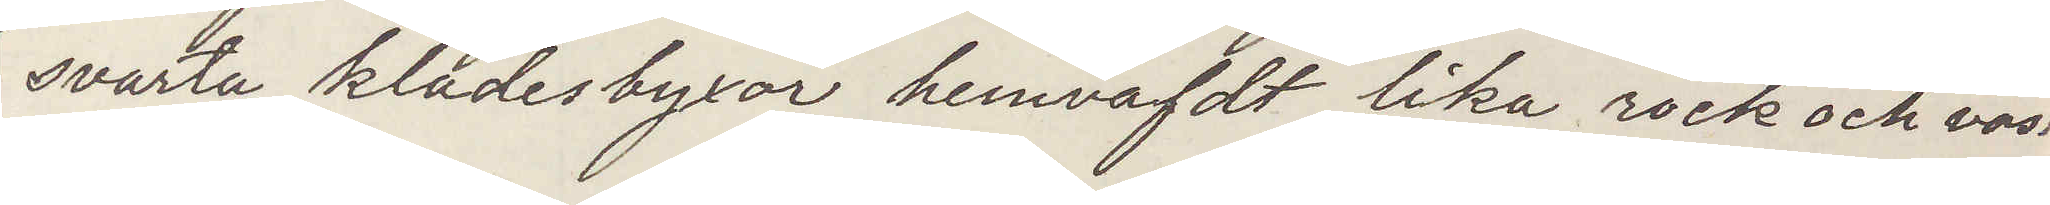svarta klädesbyxor hemvafdt lika rock och väst
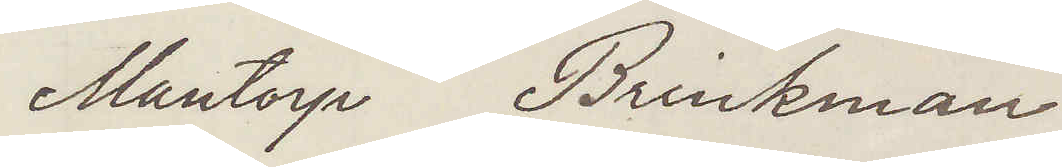Mantorp Brinkman
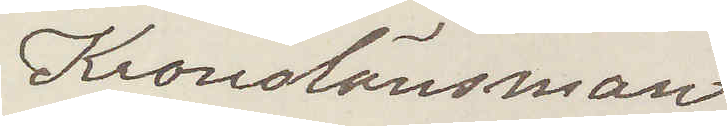Kronolänsman
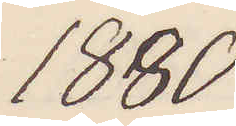1880
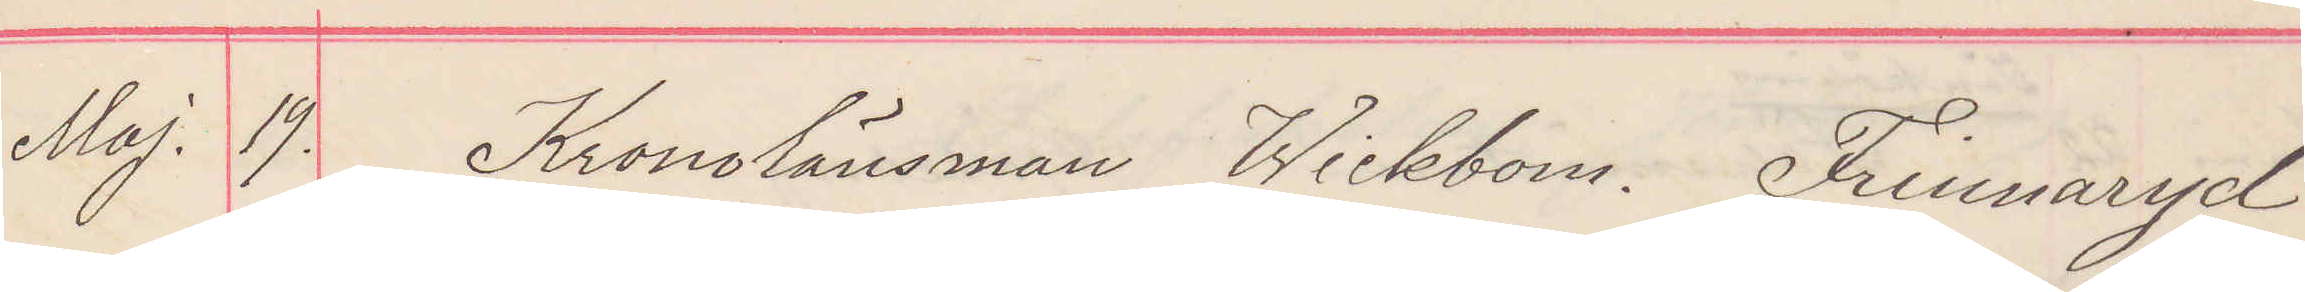Maj. 19. Kronolänsman Wickbom. Frinnaryd
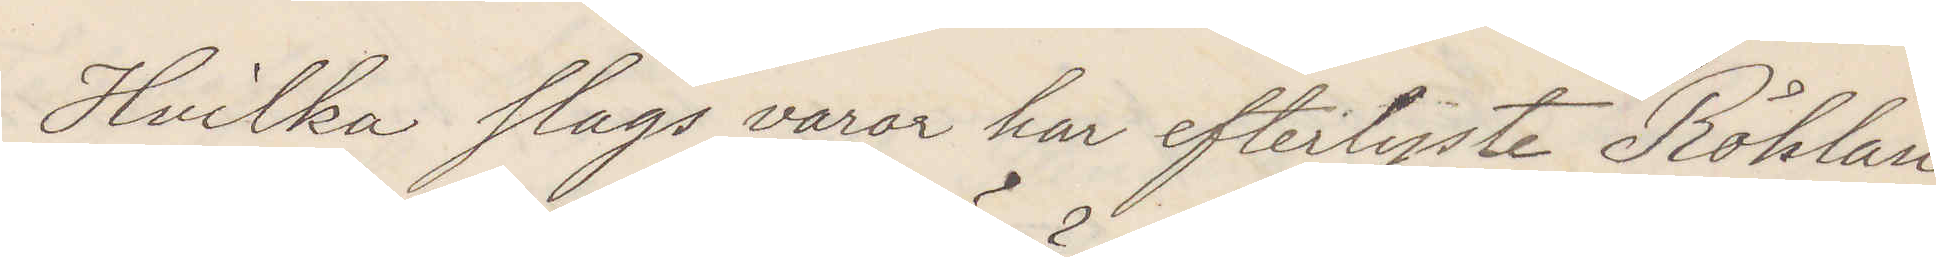Hvilka slags varor har efterlyste Röhlan¬
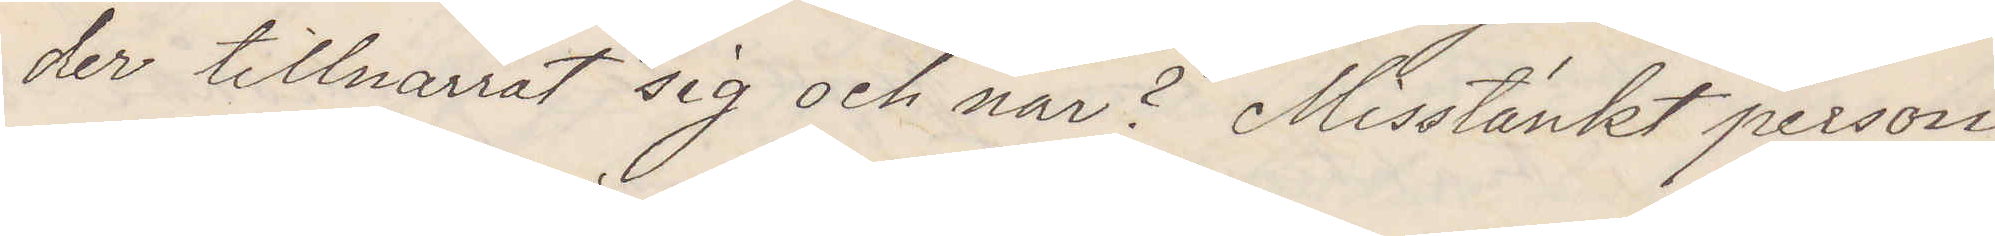der tillnarrat sig och när? Misstänkt person
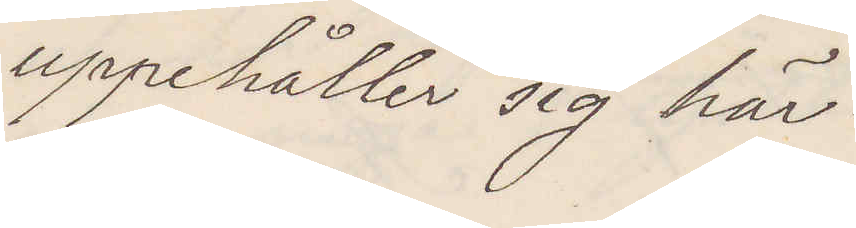uppehåller sig här.
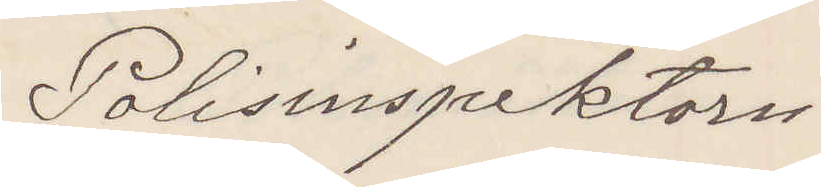Polisinspektorn
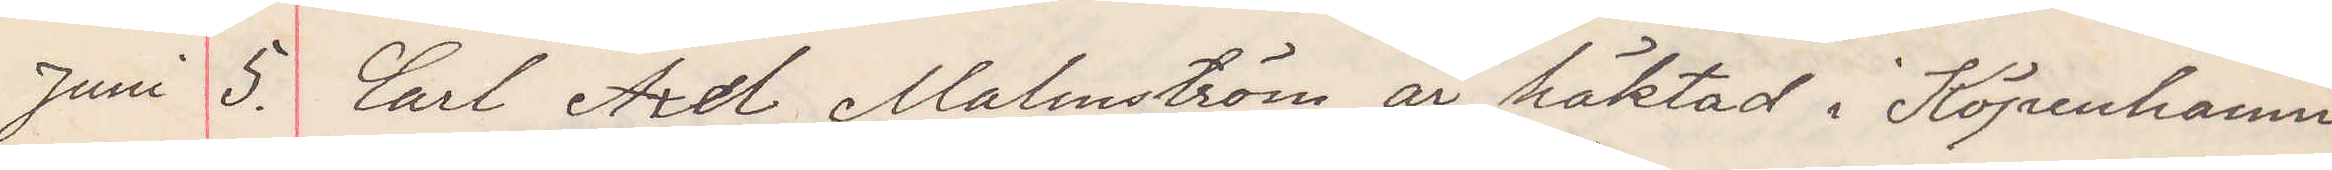Juni 5. Carl Axel Malmström är häktad i Köpenhamn
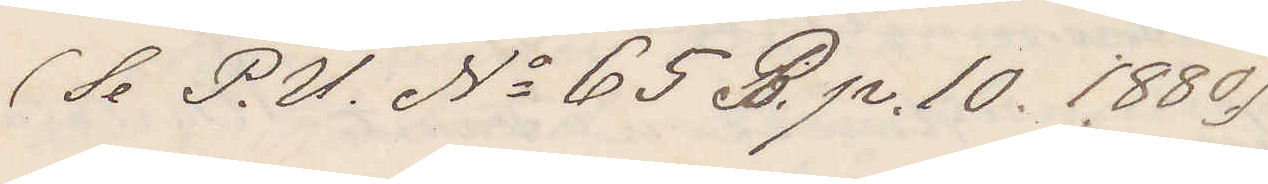(Se P. U. No 65 B. p. 10 1880)
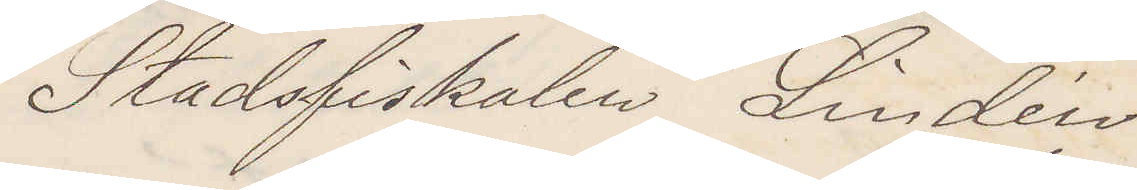Stadsfiskalen Lindén
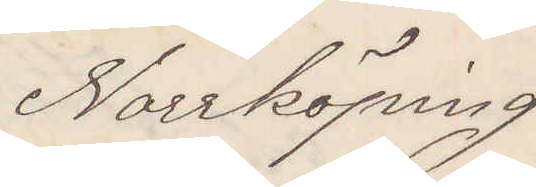Norrköping
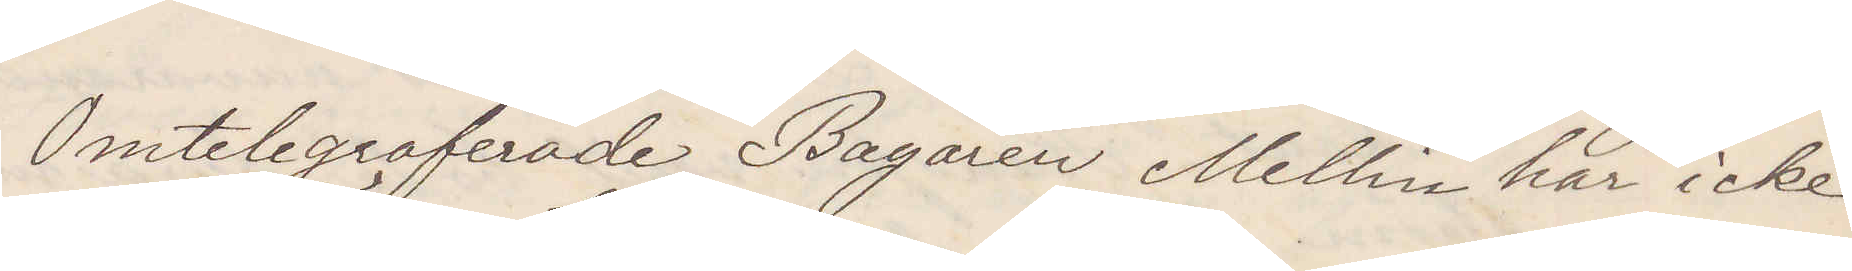Omtelegraferade Bagaren Mellin har icke
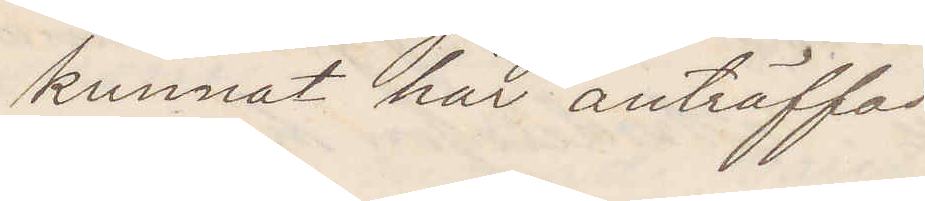kunnat här anträffas
